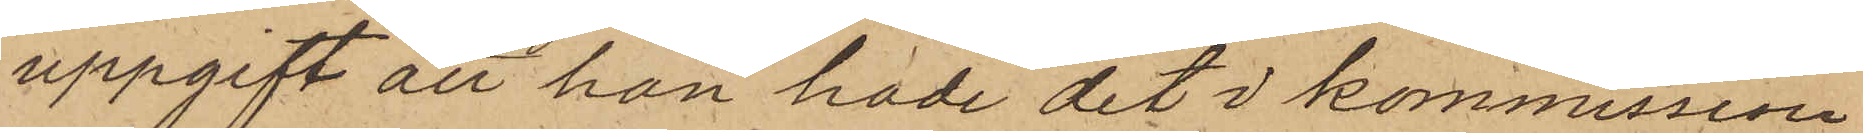uppgift att han hade det i kommission
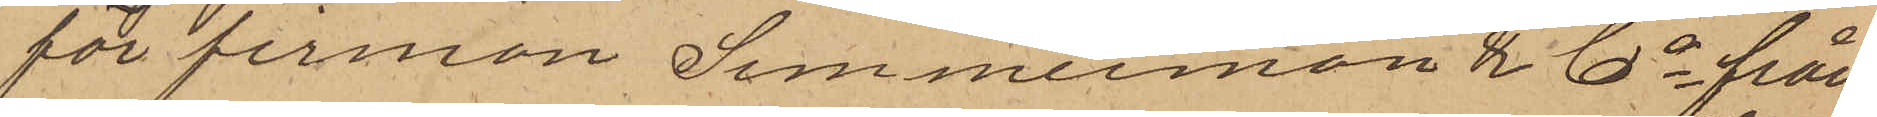för firman Simmermon & Co från
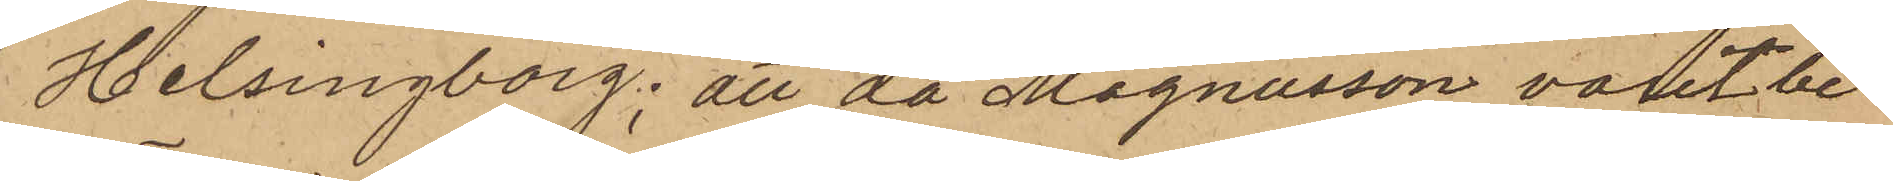Helsingborg; att då Magnusson varit be¬
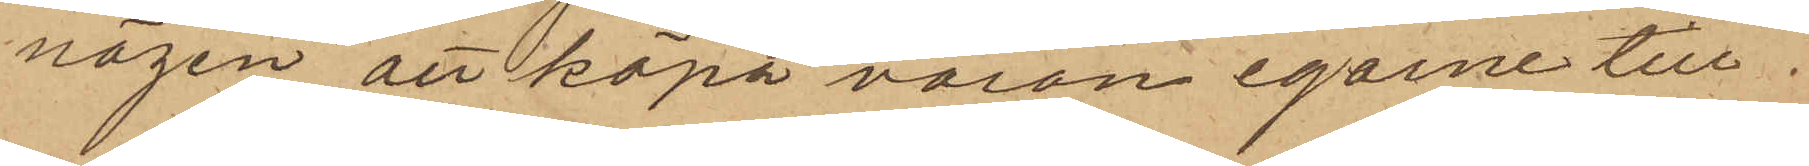nägen att köpa varan egarne till
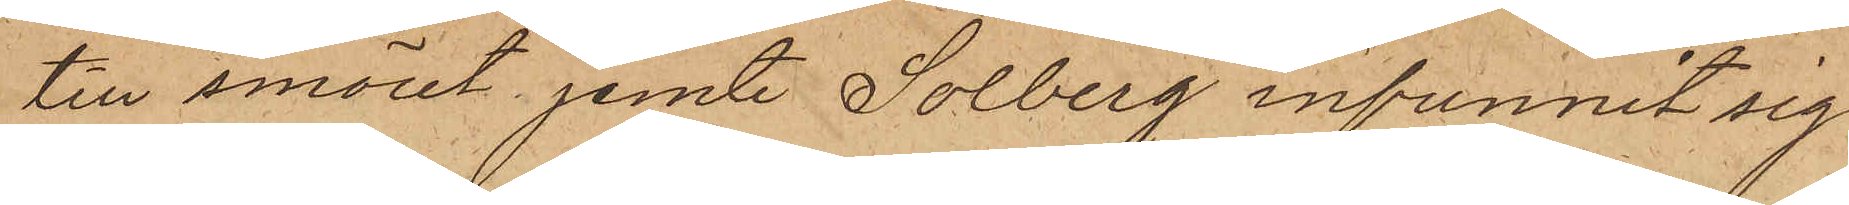till smöret jemte Solberg infunnit sig
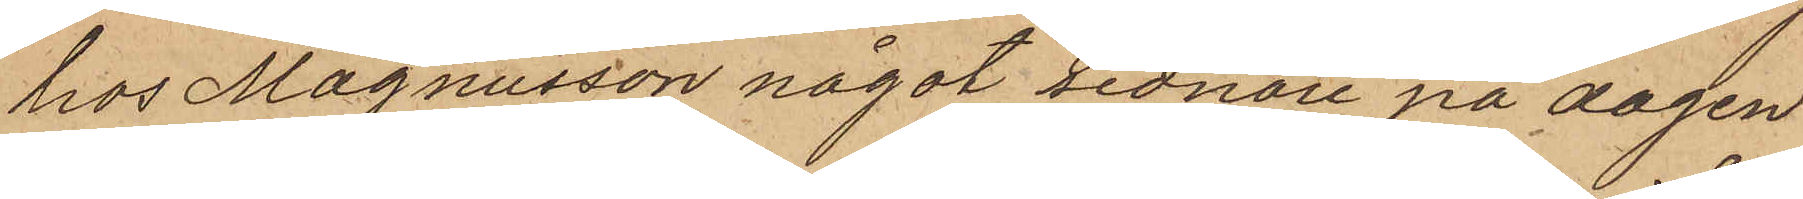hos Magnusson något sednare på dagen
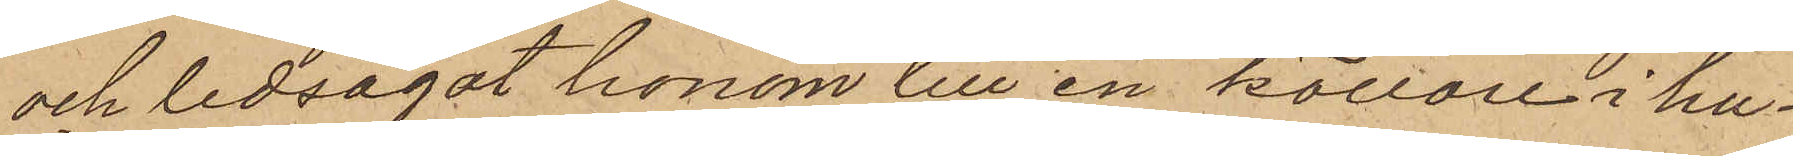och ledsagat honom till en källare i hu¬
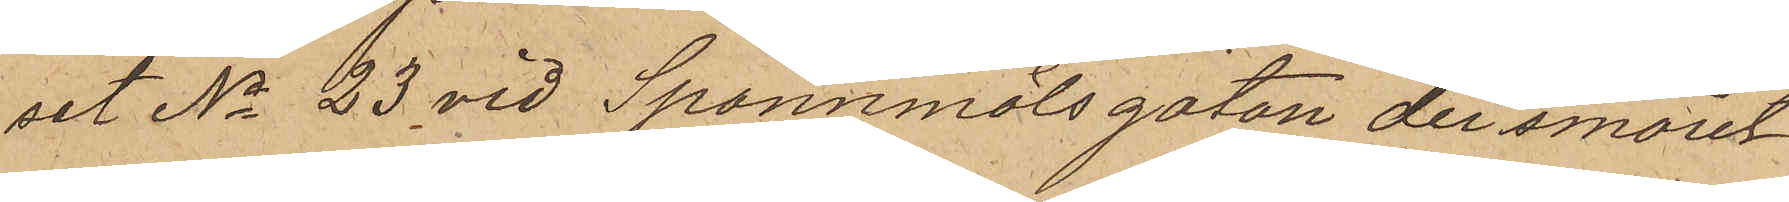set No 23 vid Spannmålsgatan der smöret
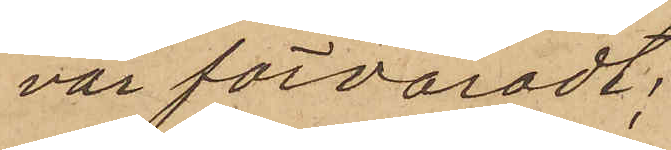var förvaradt;
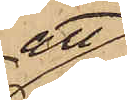att
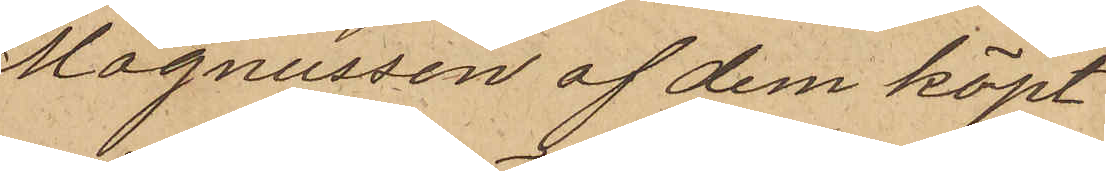Magnusson af dem köpt
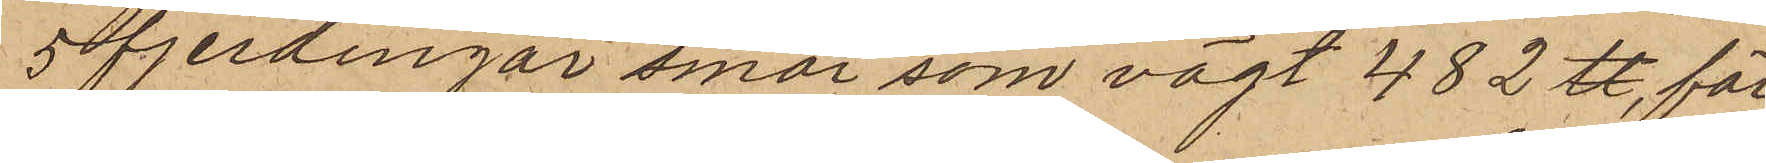5 fjerdingar smör som vägt 482 ℔, för
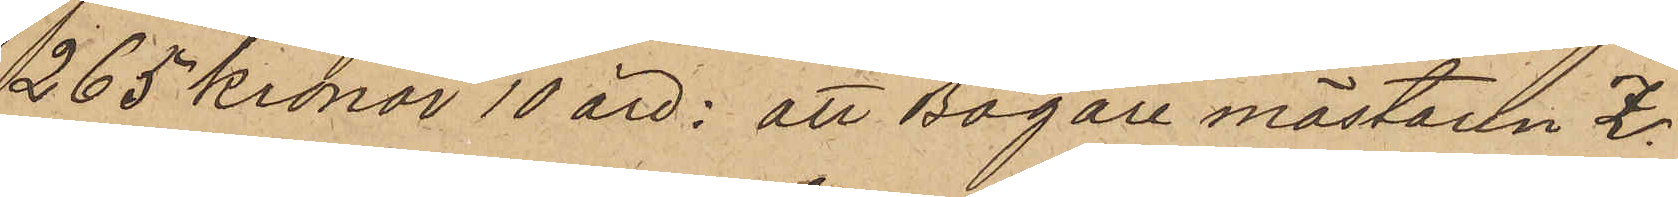265 kronor 10 öre; att Bagaremästaren Z.
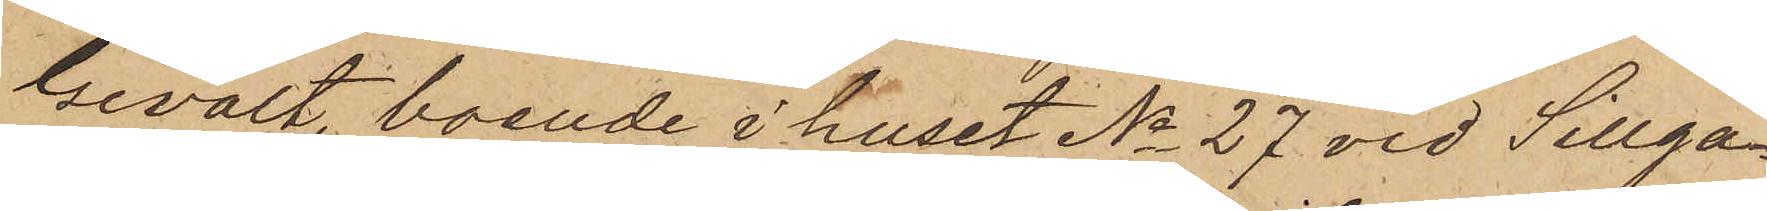Gevalt, boende i huset No 27 vid Sillga¬
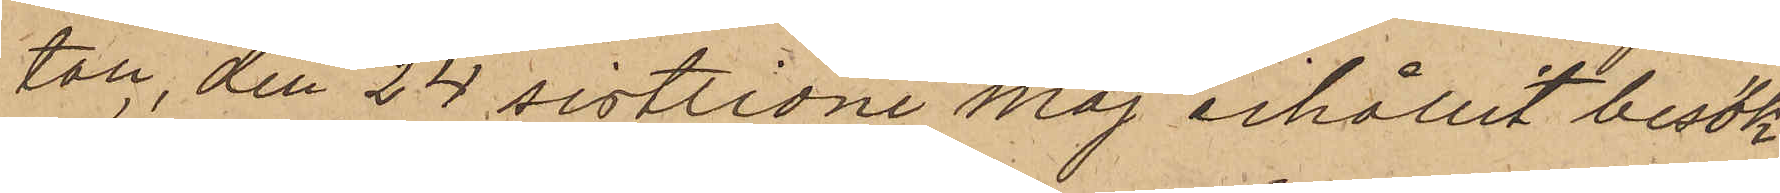tan, den 24 sistlidne Maj erhållit besök
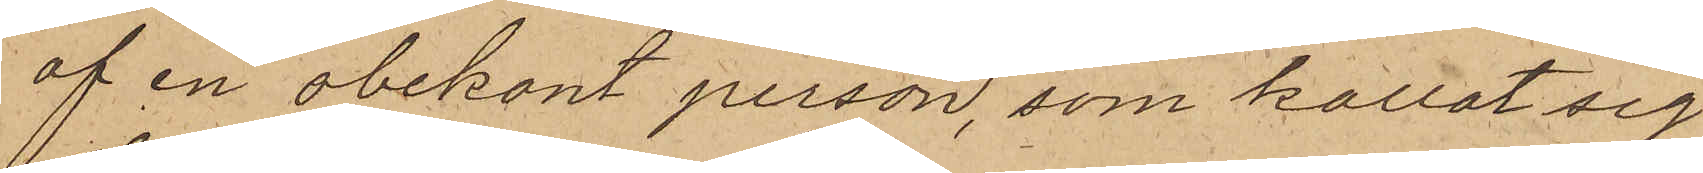af en obekant person, som kallat sig
